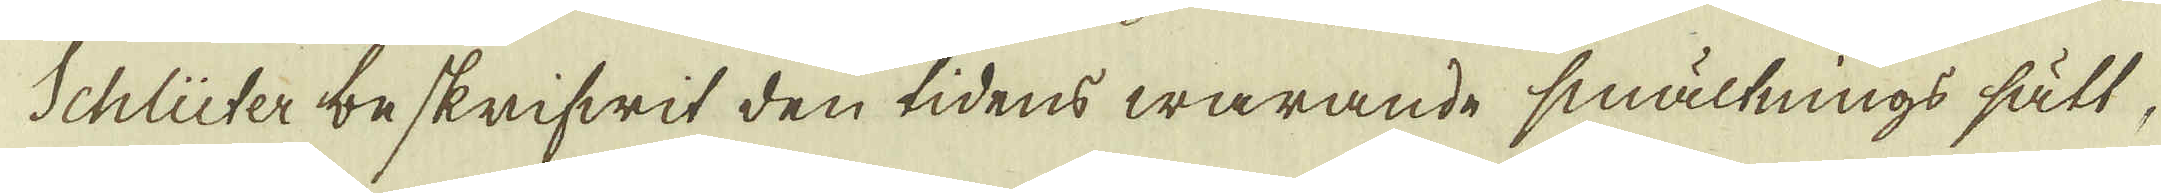Schlüter beskrifwit den tidens warande smältnings sätt,
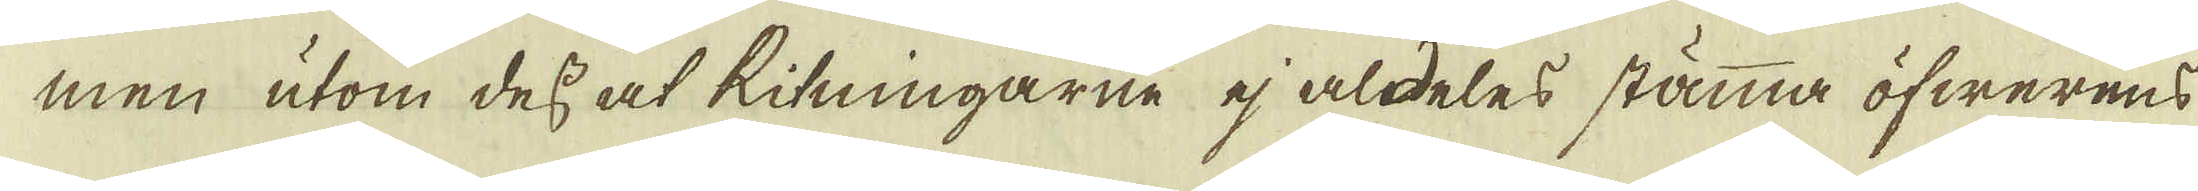men utom dess at Ritningarne ej aldeles stämma öfwerens
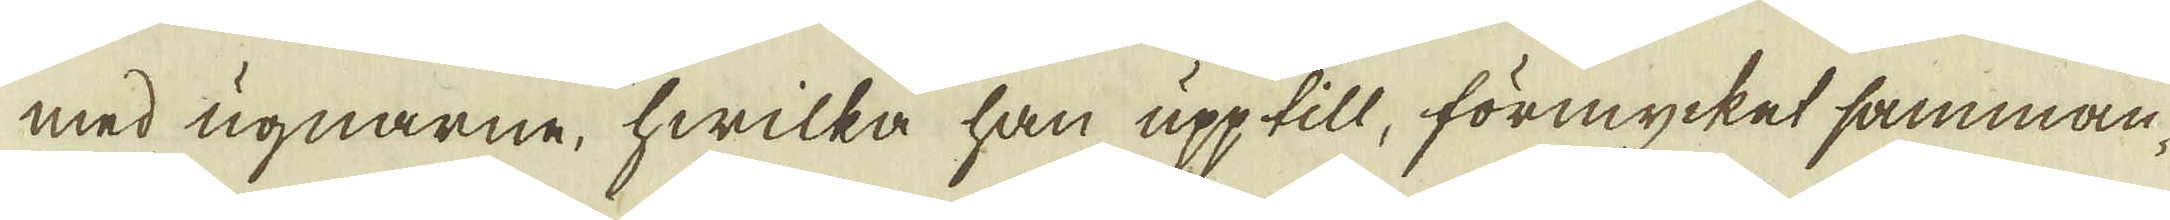med ugnarne, hwilka han upp till, förmycket samman-
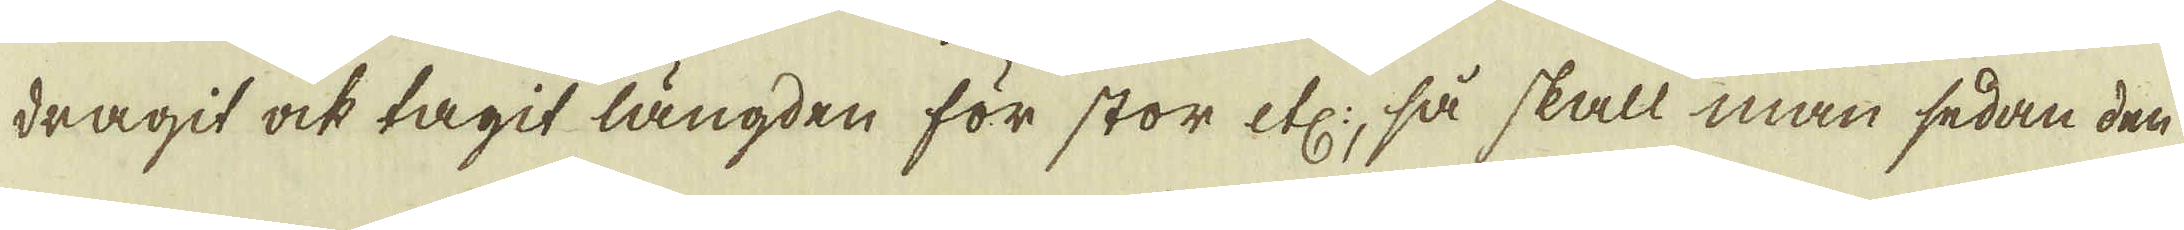dragit ock tagit längden för stor etc:, så skall man sedan den
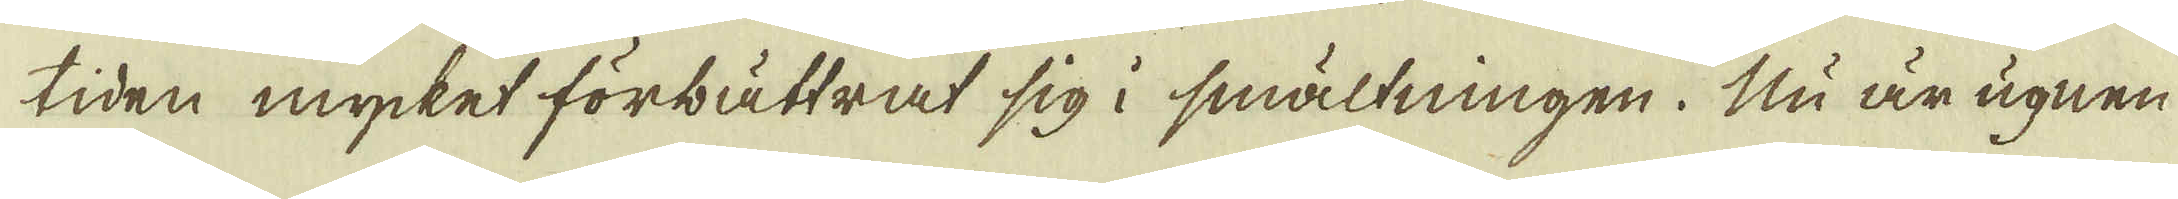tiden mycket förbättrat sig i smältningen. Nu är ugnen
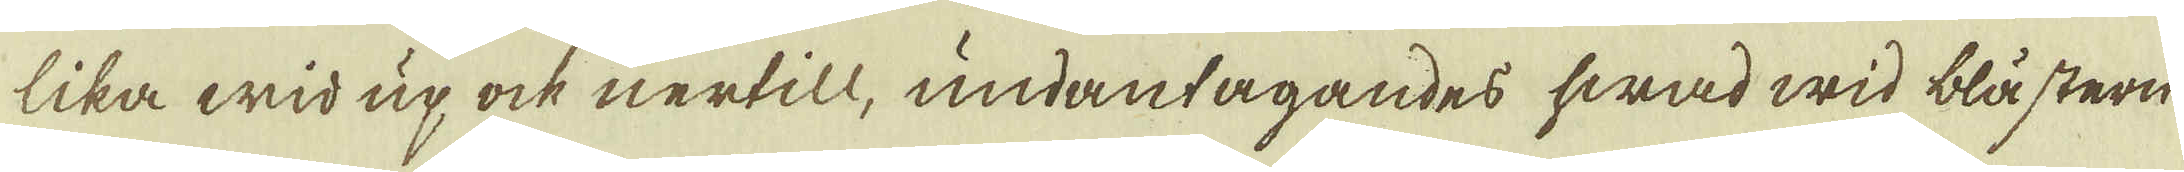lika wid up ock nertill, undantagandes hwad wid blästern
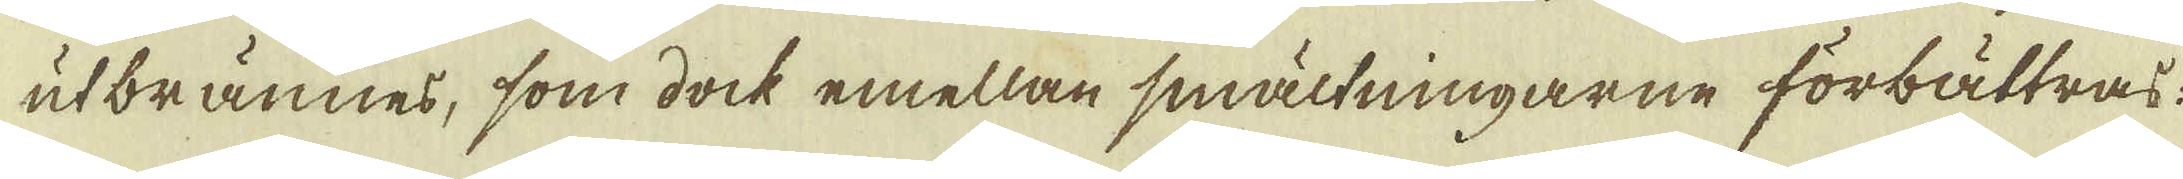utbrännes, som dock emellan smältningarne forbättras:
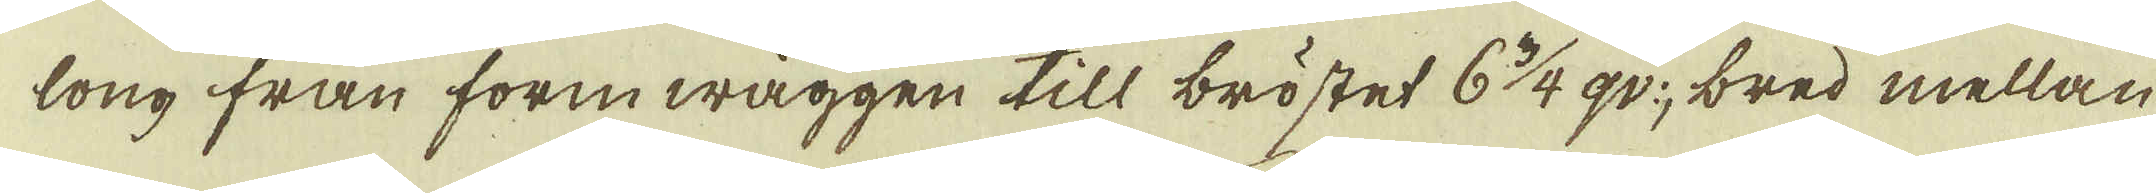long från formwäggen till bröstet 6 3/4 qv:, bred mellan
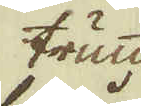trumm-
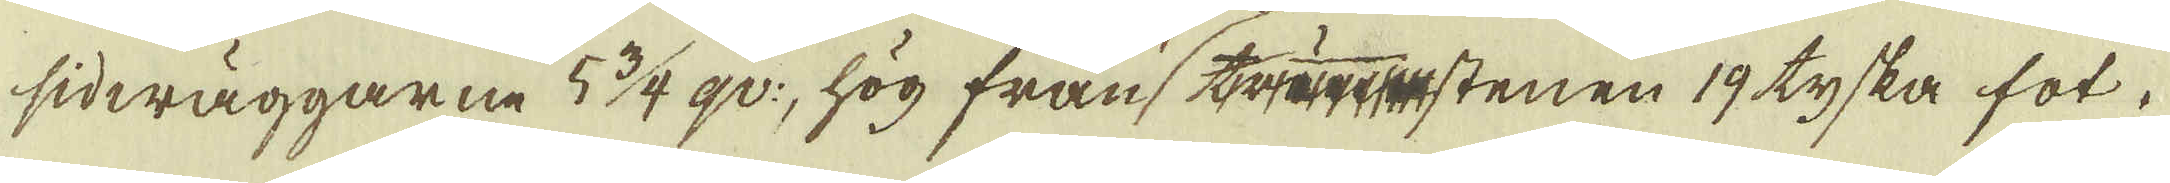sidwäggarne 5 3/4 qv:, hög från trstenen 19 tyska fot.
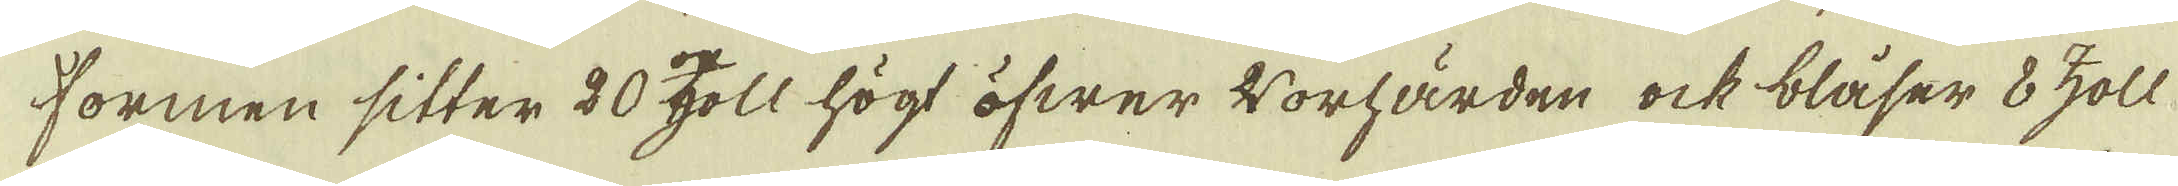Formen sitter 20 zoll högt öfwer 4 Worhärden ock blåser 8 zoll
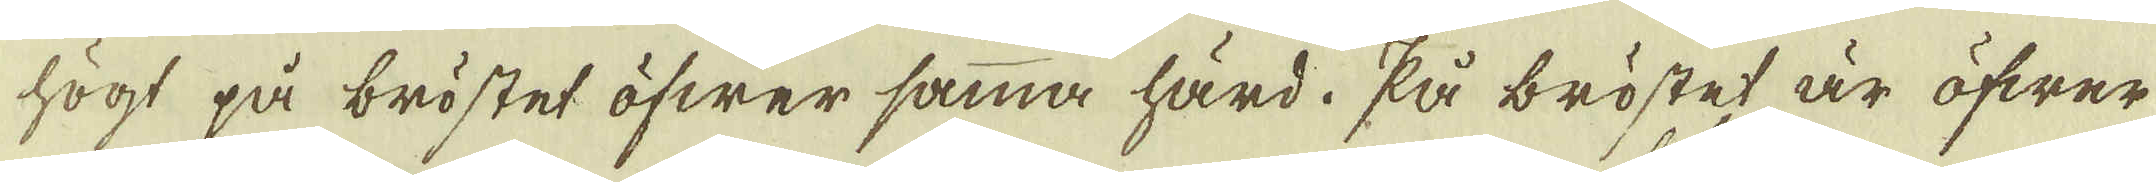högt på bröstet öfwer samma härd. På bröstet är öfwer
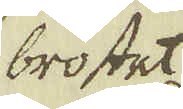bröstet
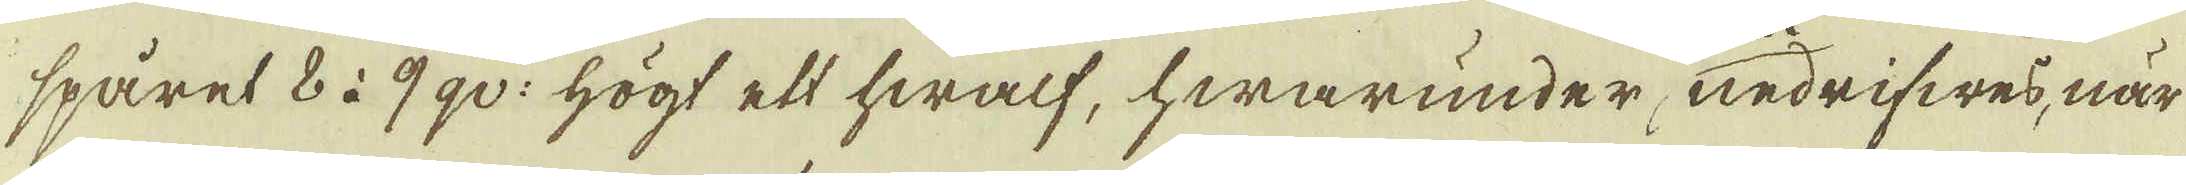spåret 8 à 9 qv: högt ett hwalf, hwarunder, nedrifwes, när
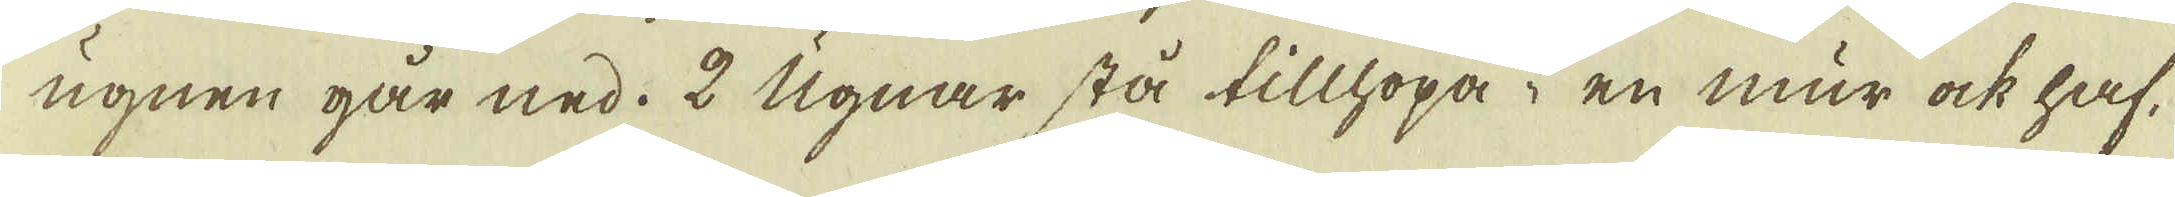ugnen går ned. 2 Ugnar stå tillhopa i en mur ock haf-
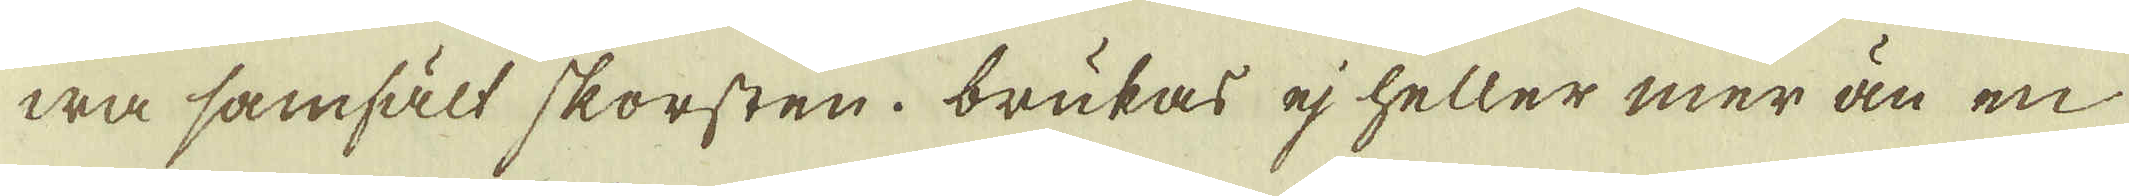wa samfält skorsten. brukas ej heller mer än en
